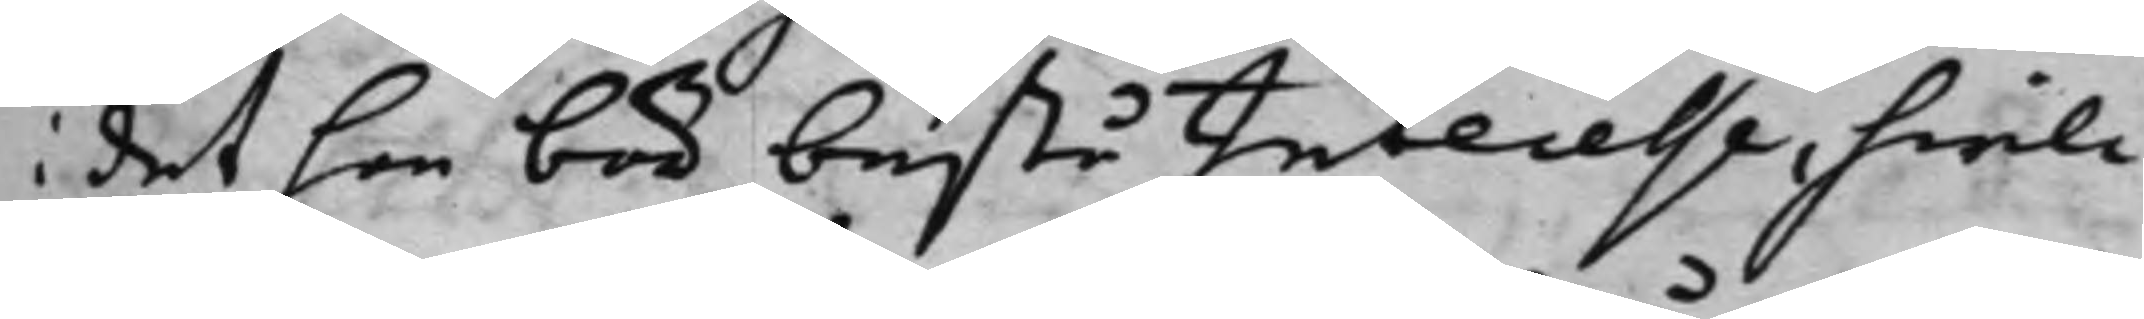i det hon bör bestå Intecesse, hwil¬
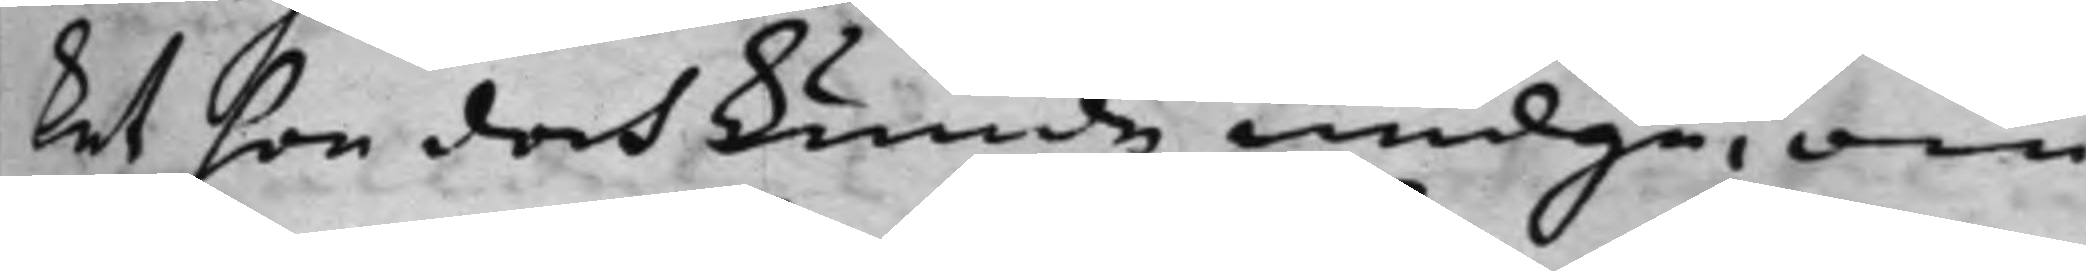ket hon doch kunde undgå, om
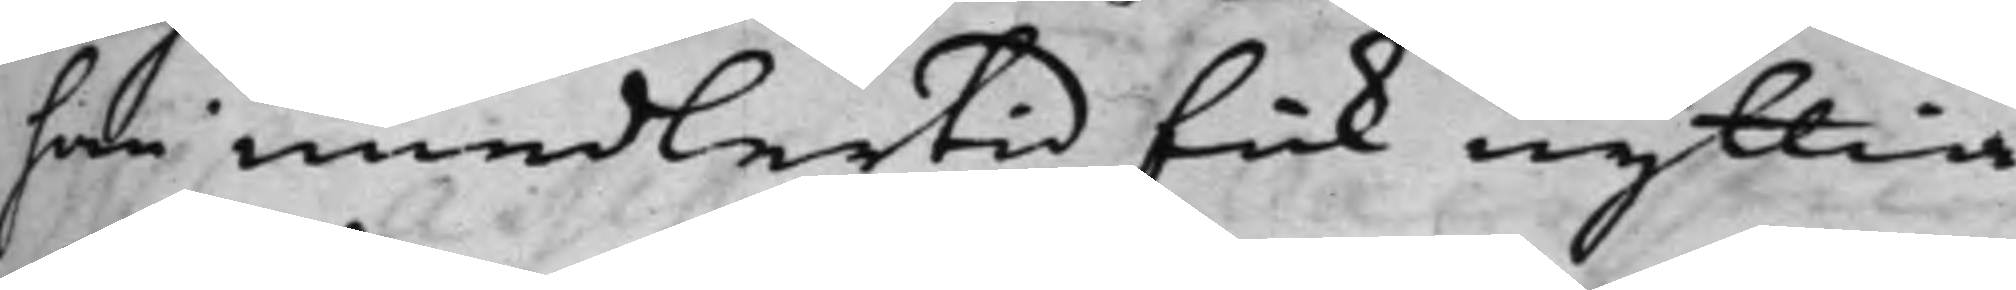han emedlertid fick nyttia
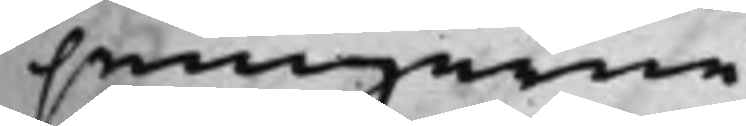penningarne.
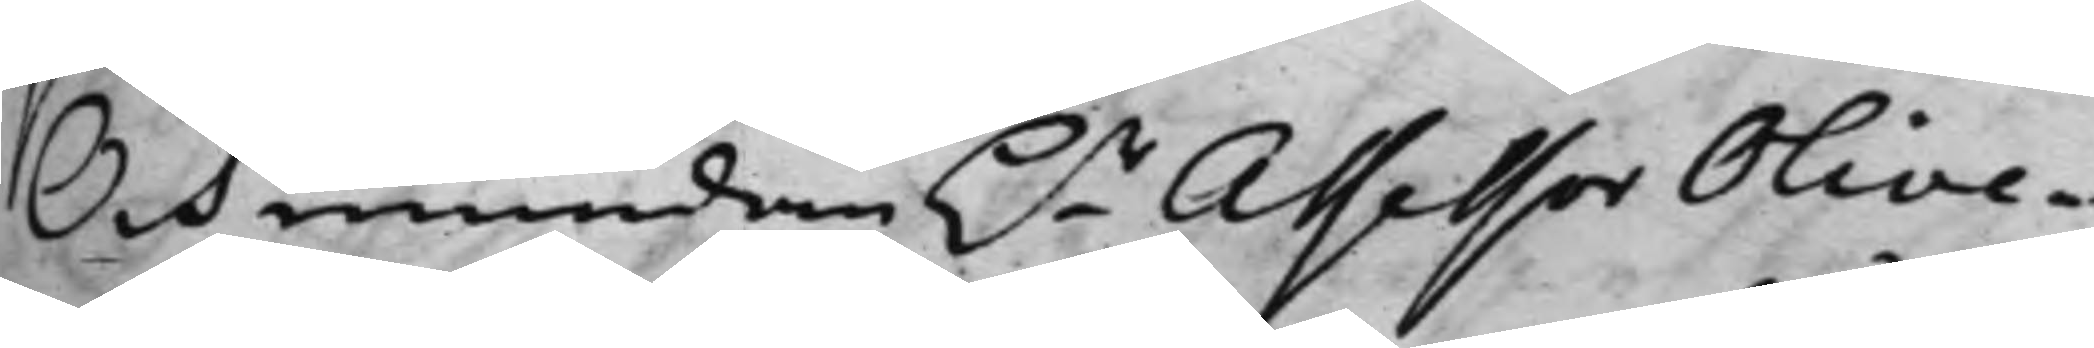Och emedan h.r Assessor Olive¬
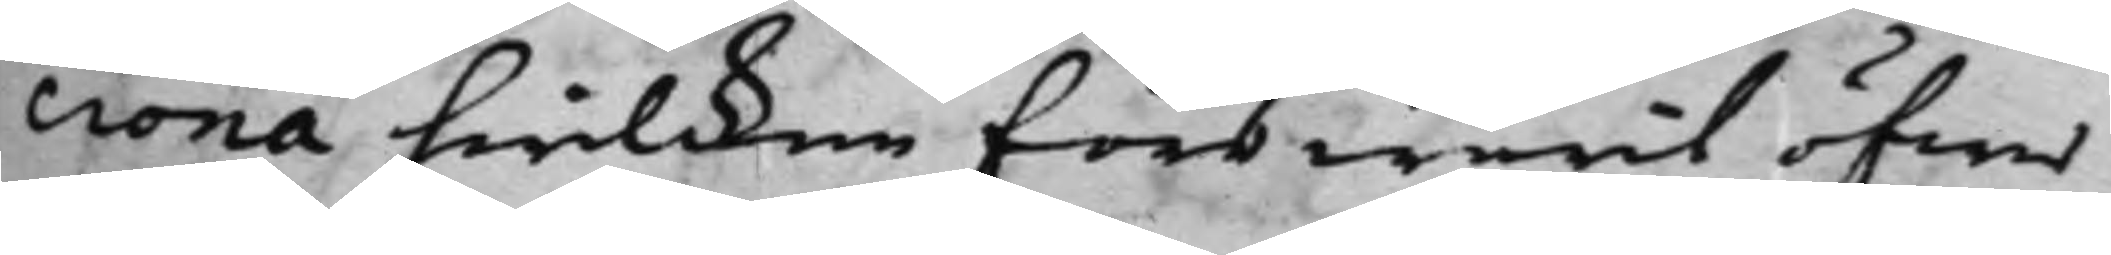crona hwilcken för warit öfwer
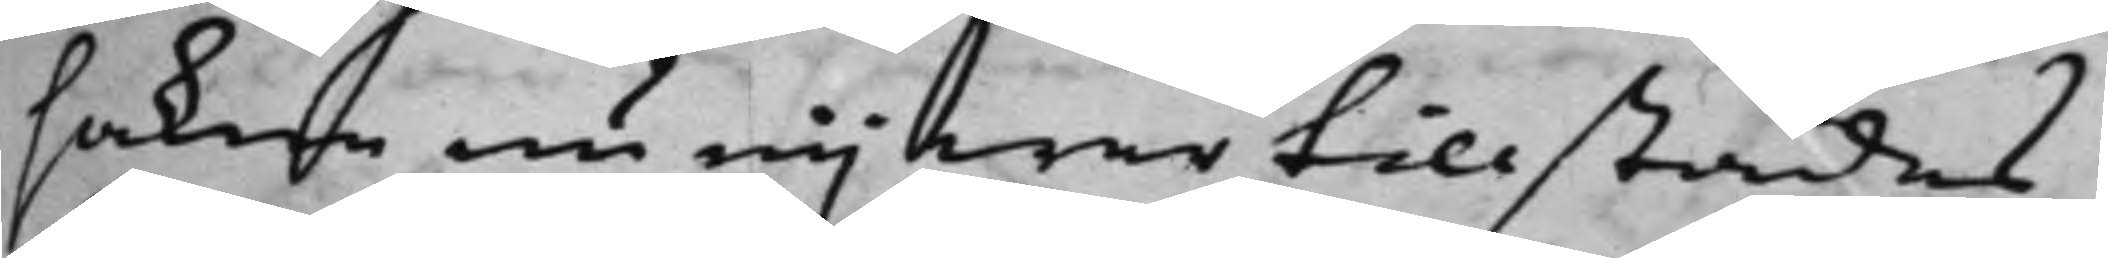saken nu eij war tillstädes
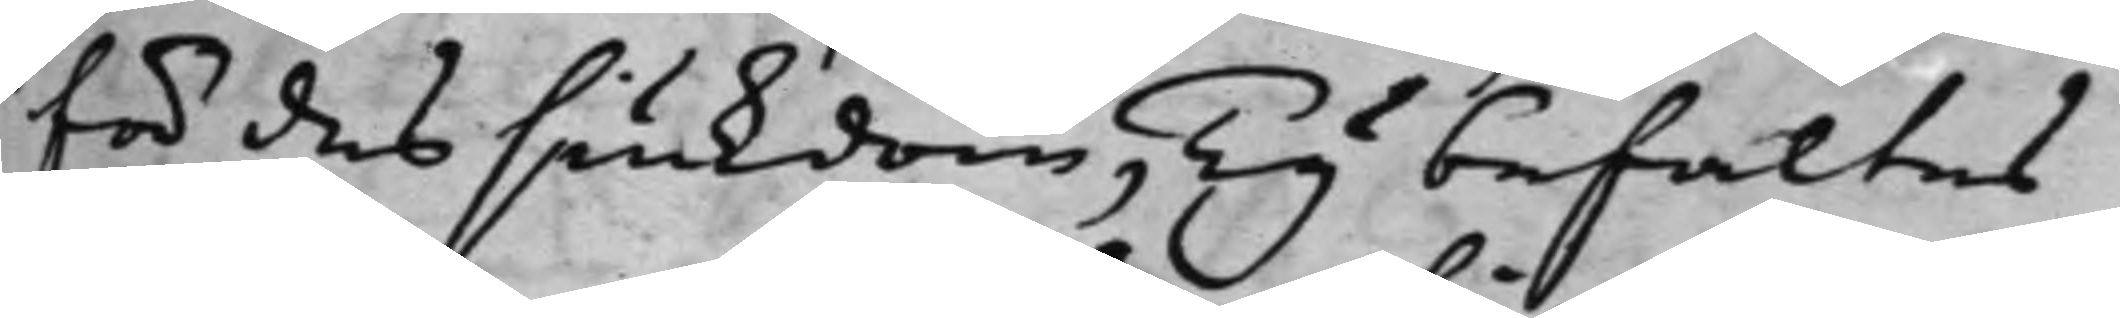för des siukdom, Ty befaltes
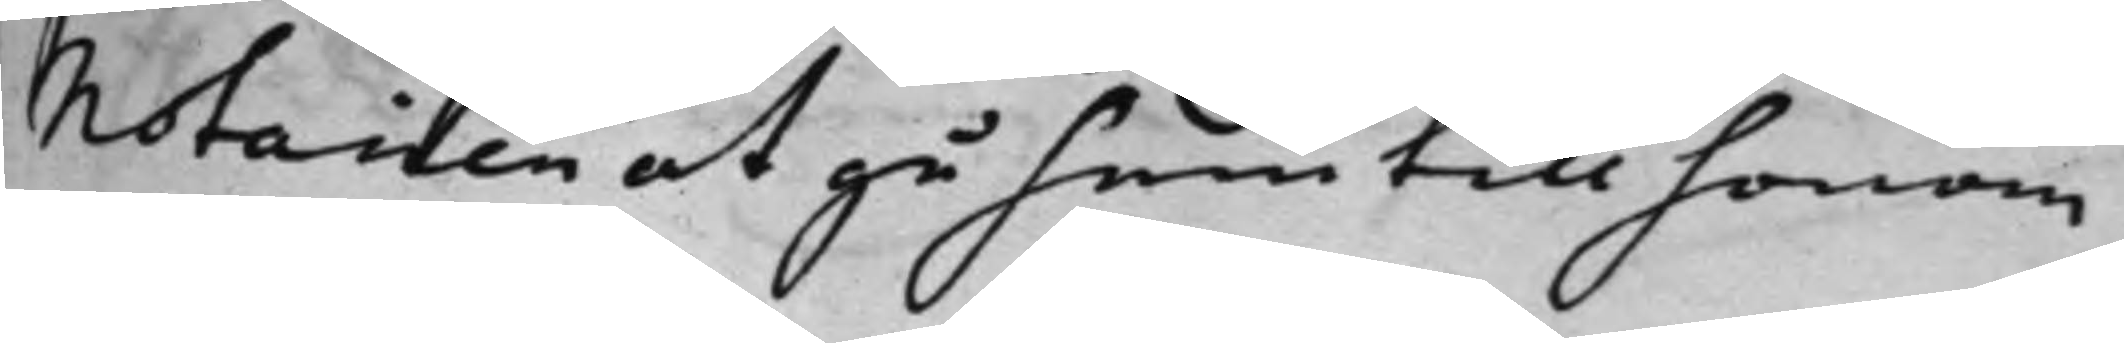Notarien at gå hem till honom
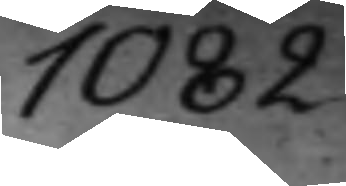1082.
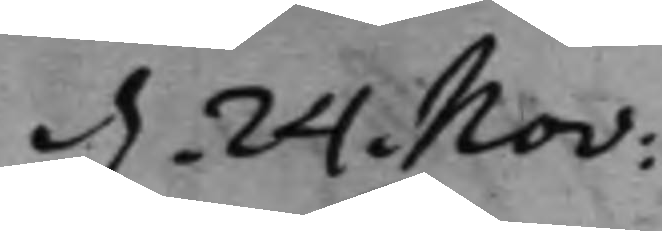d. 24. Nov:
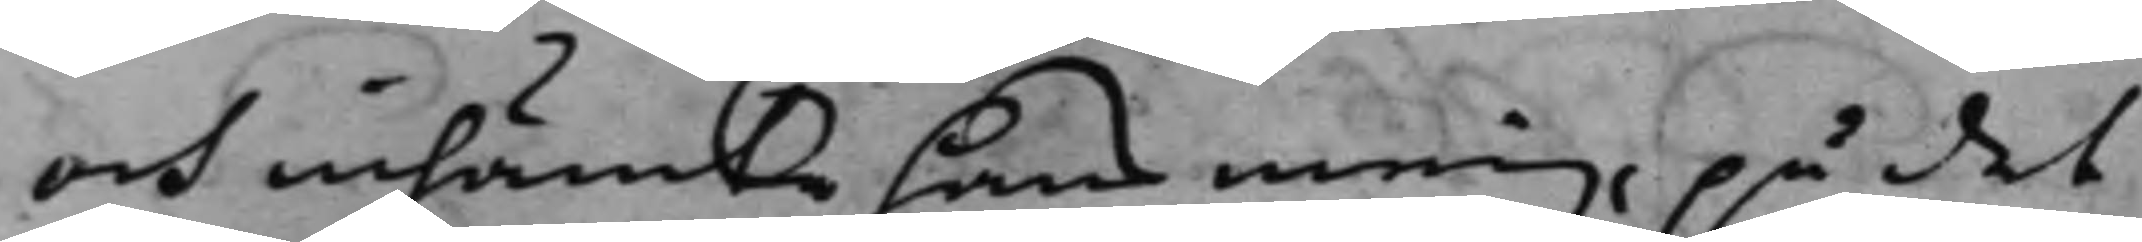och inhämta hans mening, på det
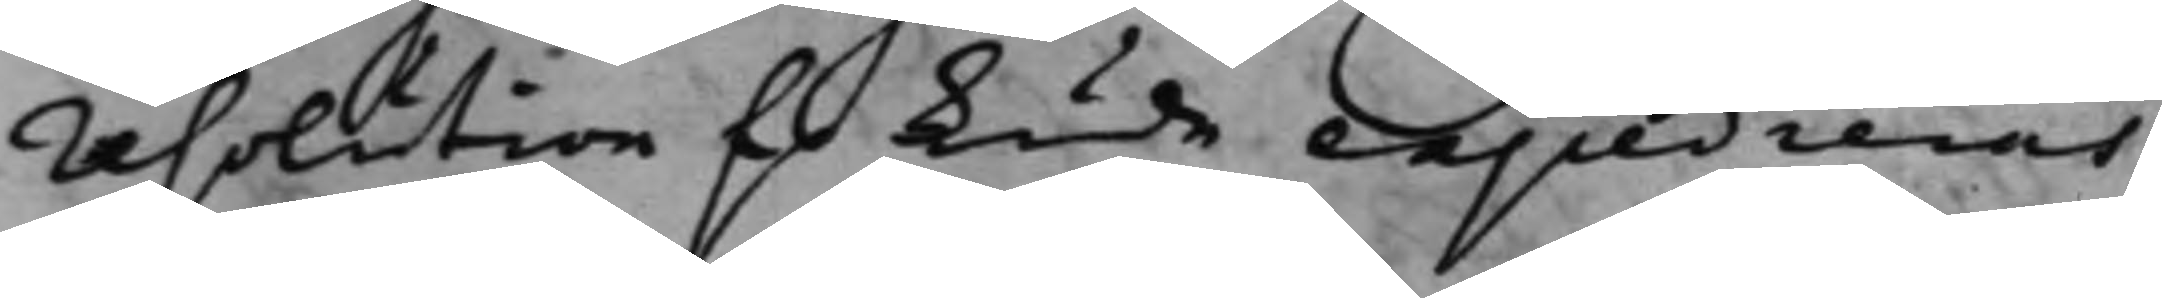resolution f. kunde expedieras.
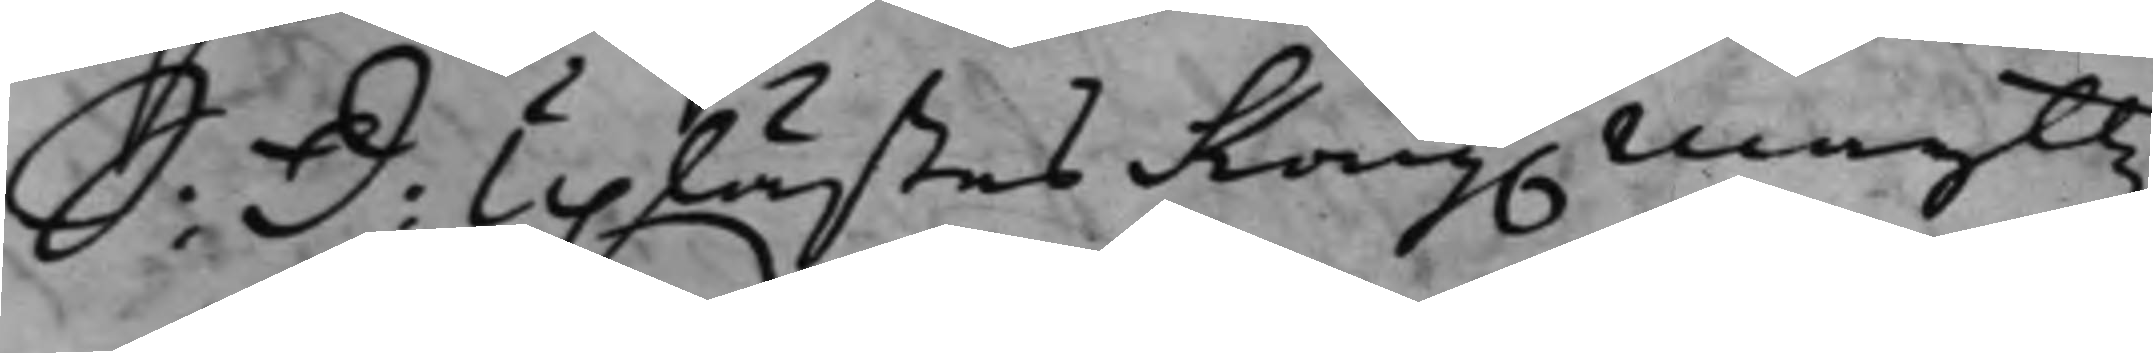S: D: Uplästes Kong. Maijttz
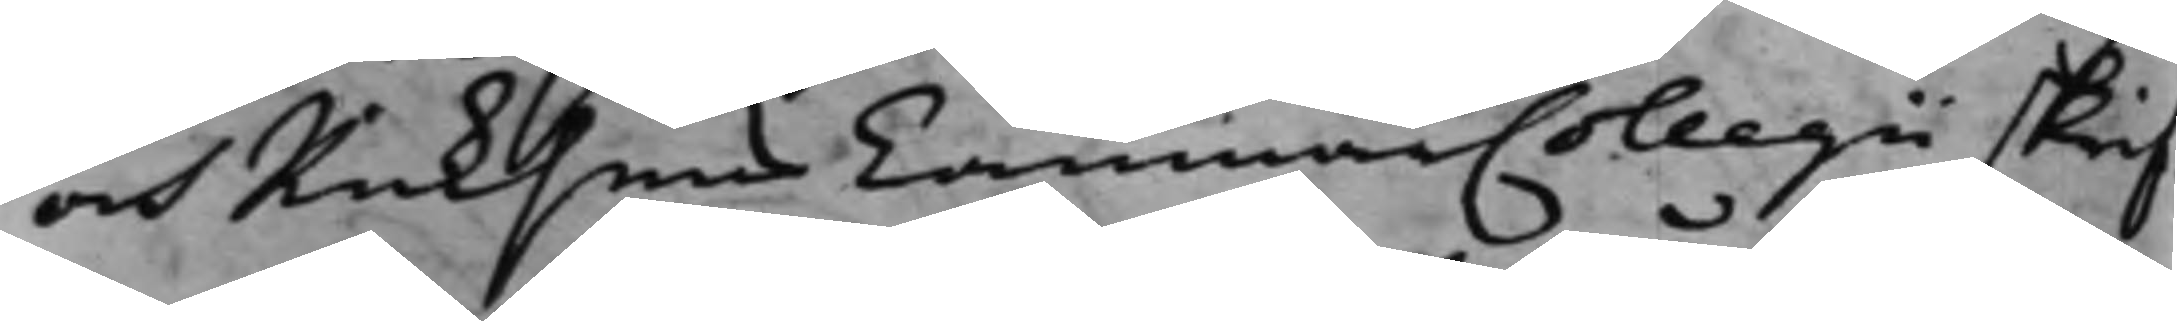och Riksens CammarCollegii skrif¬
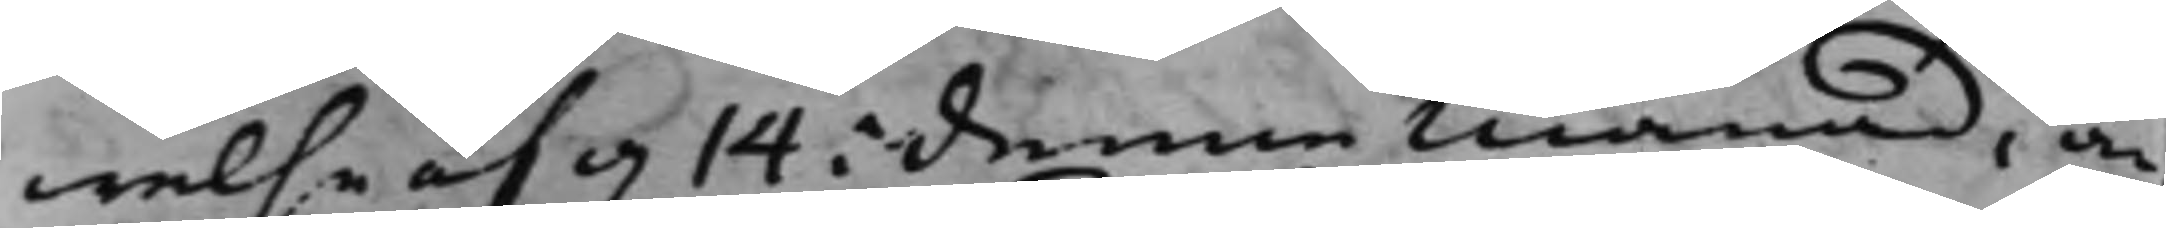welse af d. 14 i denna månad, an¬
